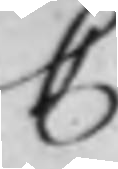C
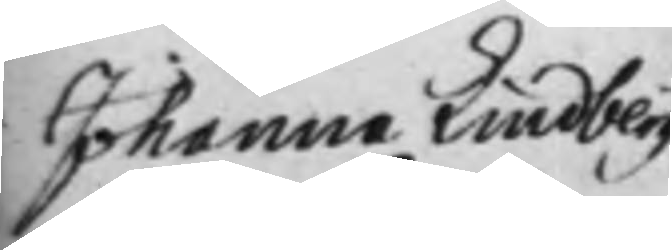Johanna Lindberg
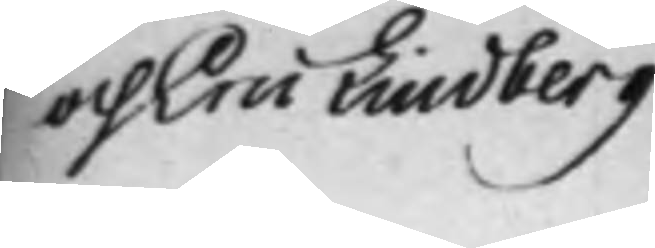och Eric Lindberg
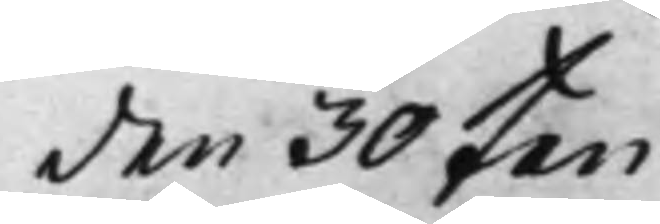den 30 Jan:
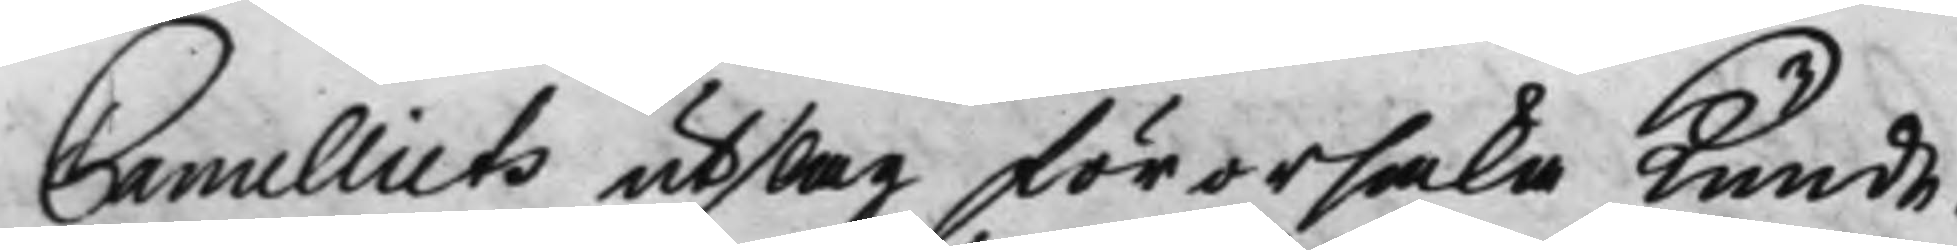Cancelliets utslag förorsaka kunde.
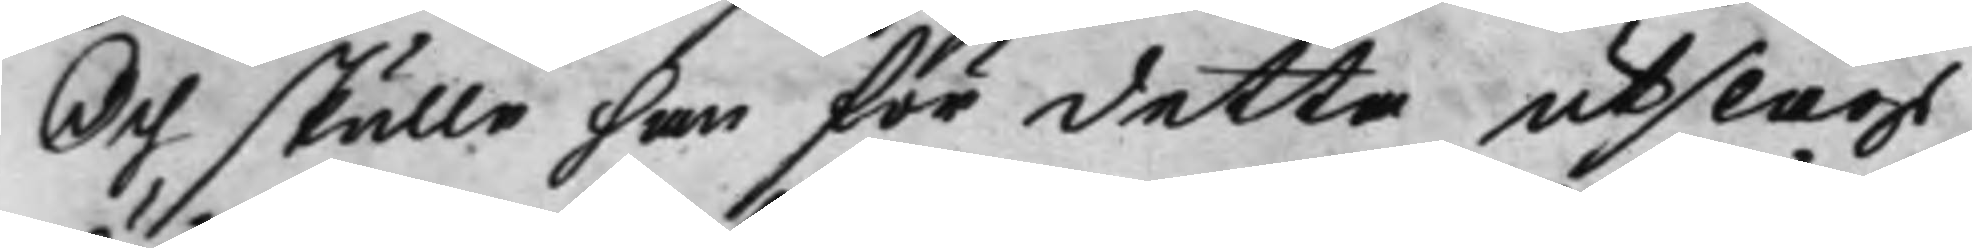Och skulle han för detta utslags
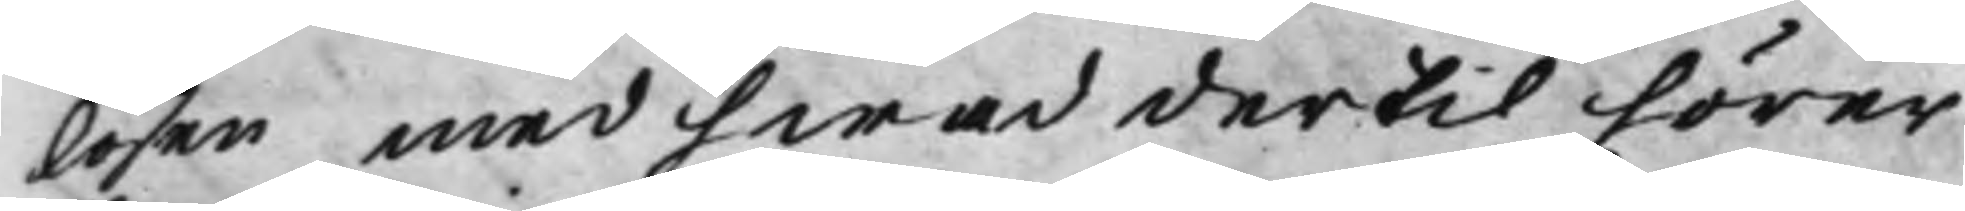lösen med hwad dertil hörer
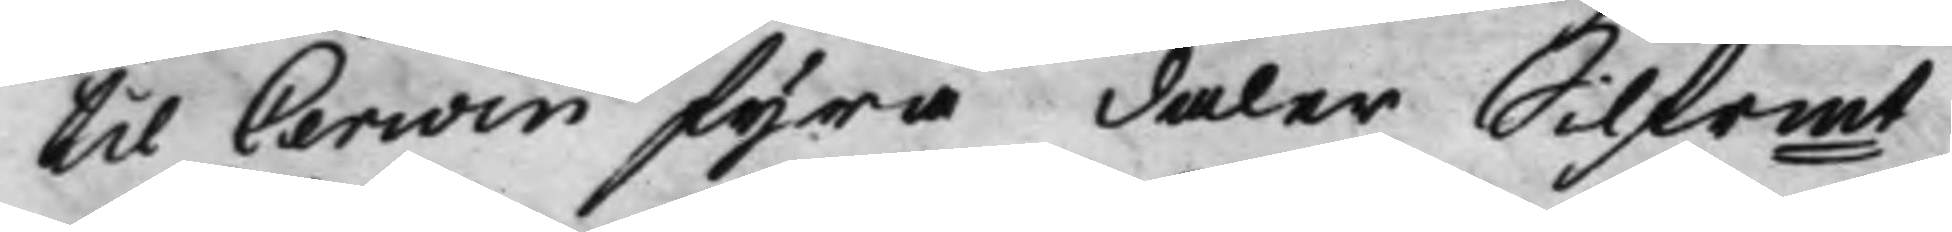til Cerwin fyra daler Silfrmt
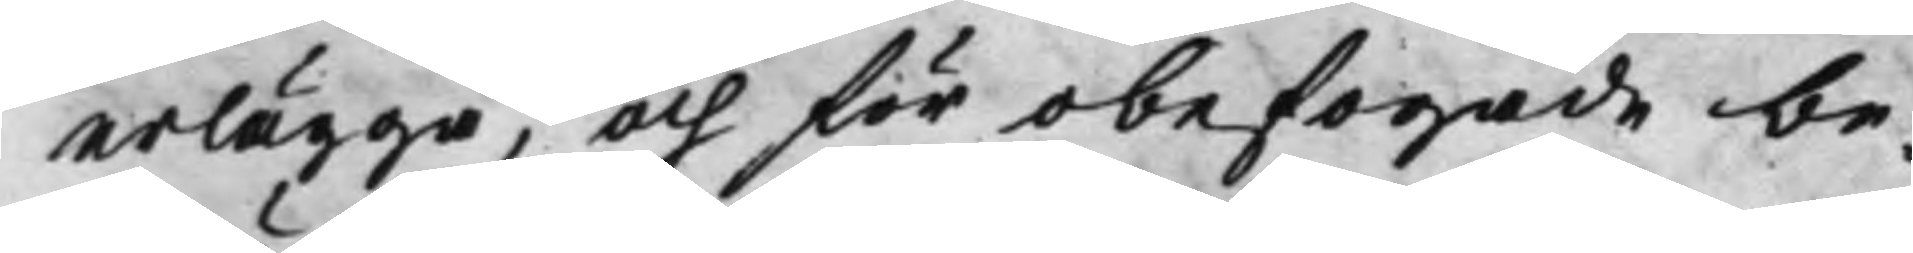erlägga, och för obefogade be¬
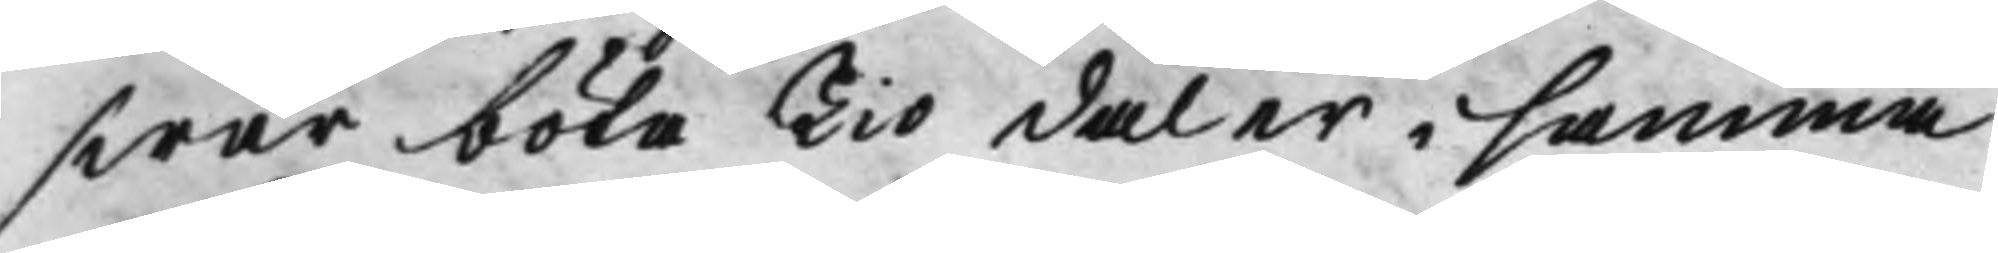swär böta Tio daler i samma
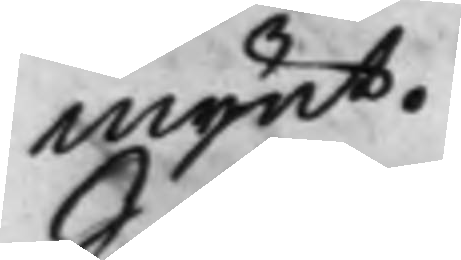mynt.
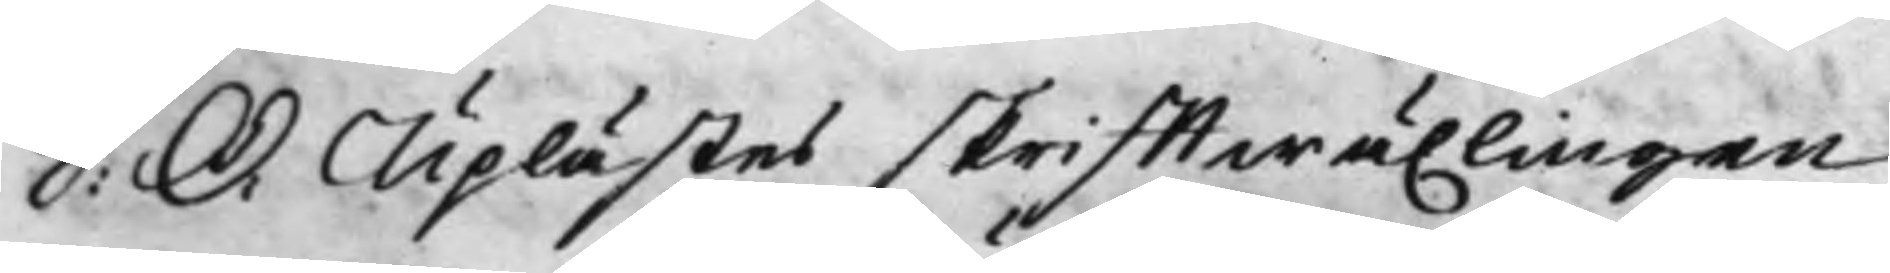S: D: Uplästes skrifftwäxlingen
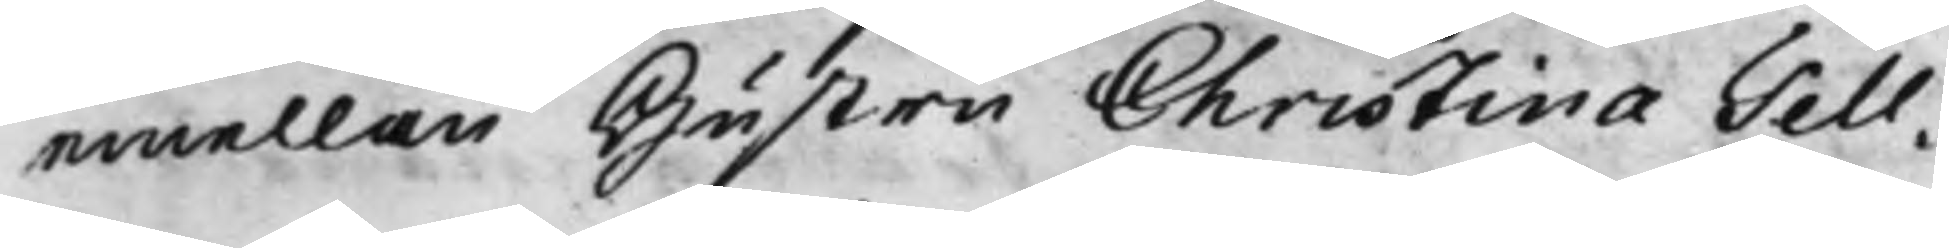emellan Hustru Christina Tell¬
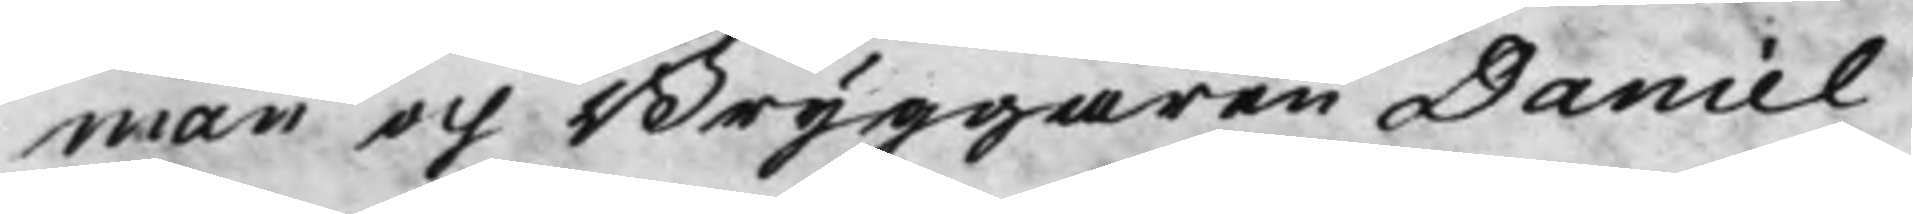man och Bryggaren Daniel
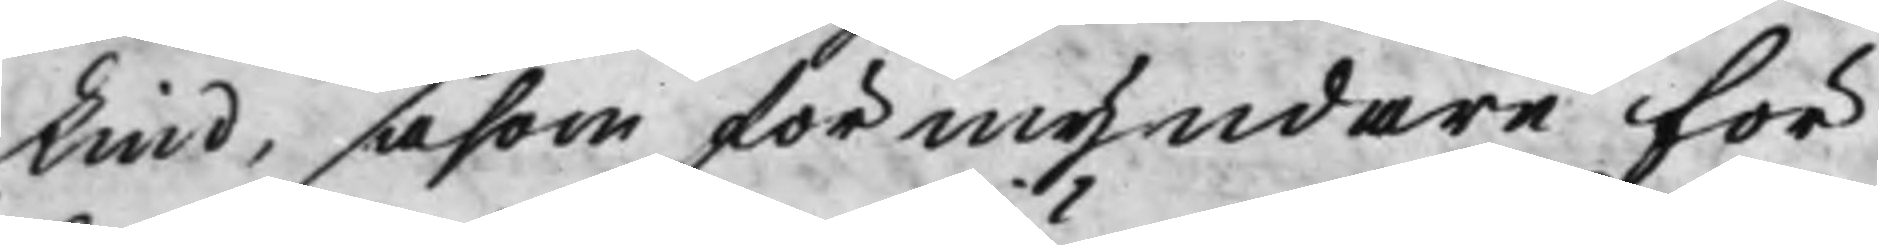Lind, såsom förmyndare För
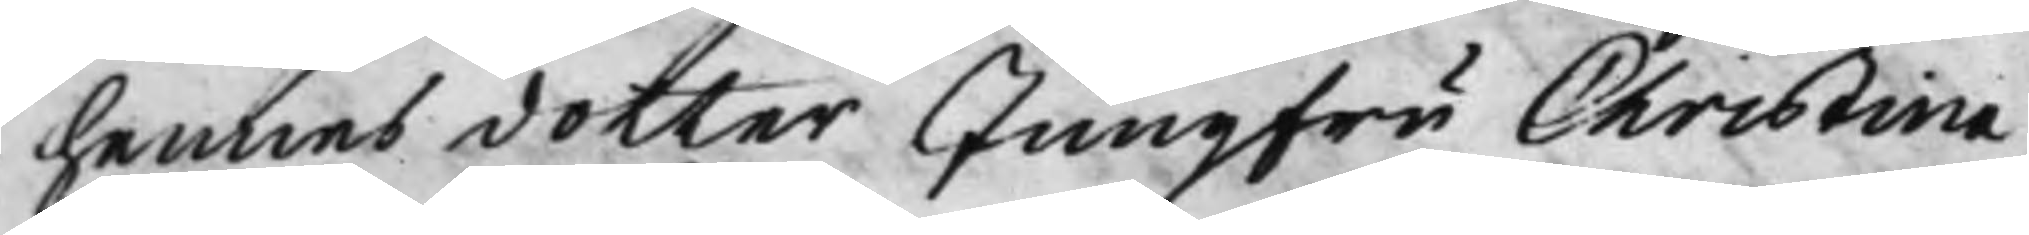hennes dotter Jungfru Christina
